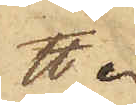℔.
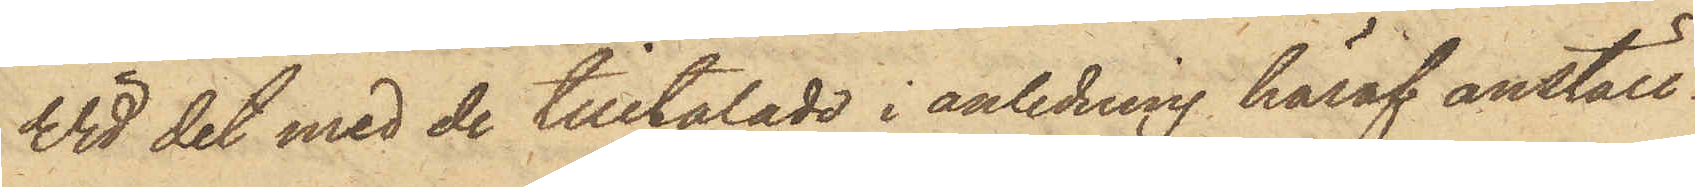Vid det med de tilltalade i anledning häraf anställ¬
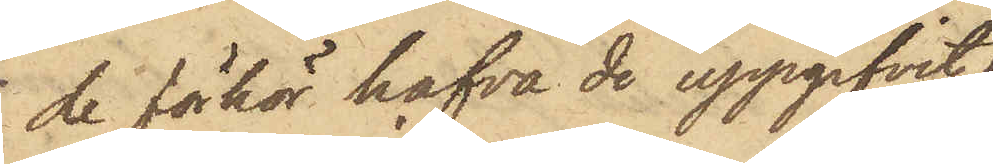de förhör hafva de uppgifvit:
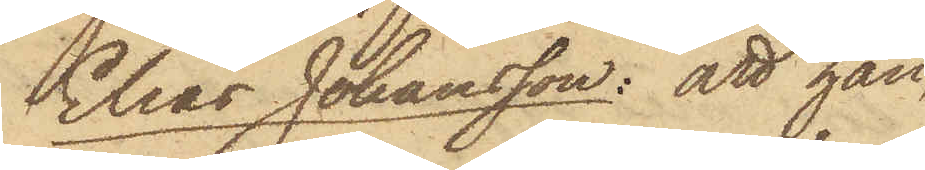Elias Johansson: att han,
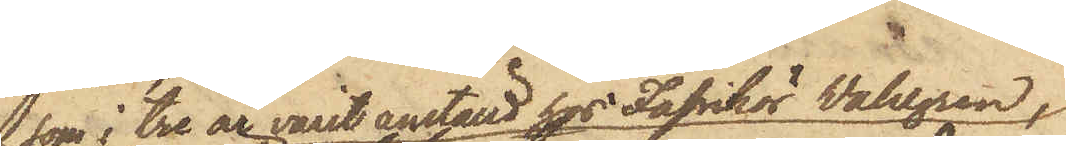som i tre år varit anställd hos Fabrikör Wahlgren,
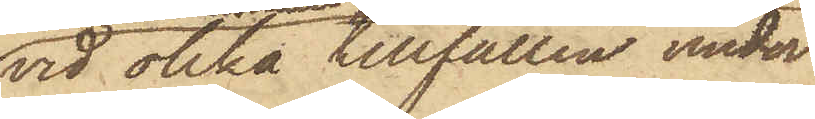vid olika tillfällen under
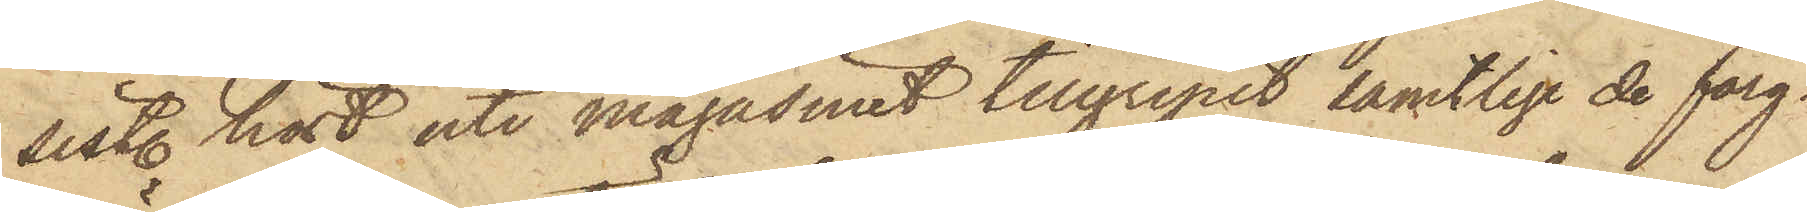sist. höst uti magasinet tillgripit samtlige de färg¬
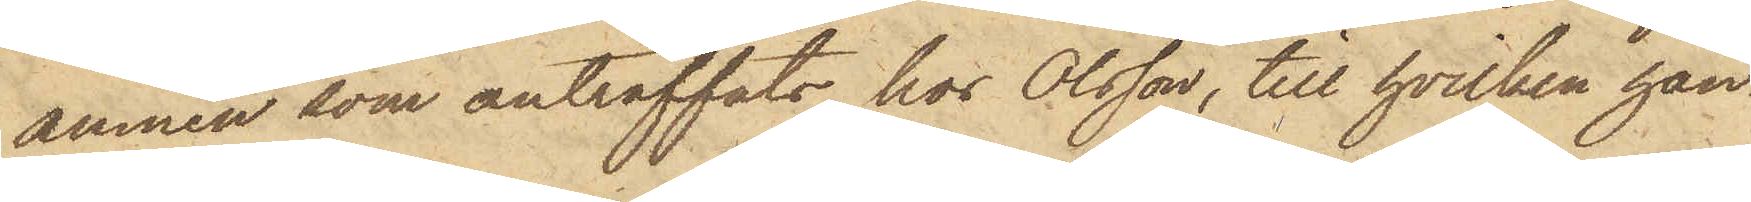ämnen som anträffats hos Olsson, till hvilken han
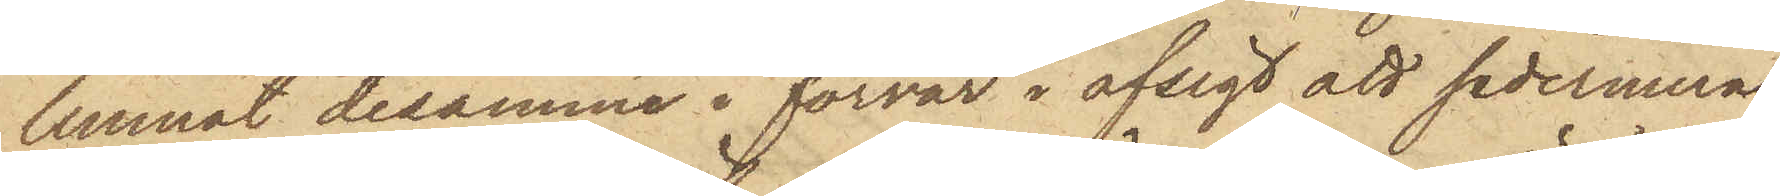lemnat desamme i förvar i afsigt att sedermera
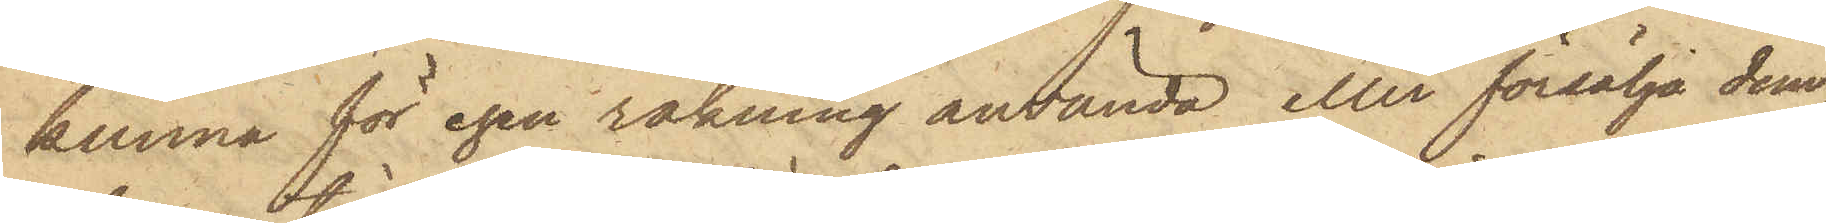kunna för egen räkning använda eller försälja dem,
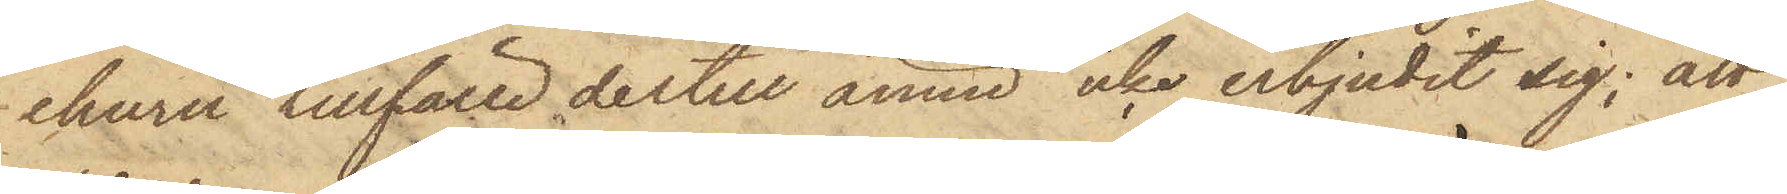ehuru tillfälle dertill ännu icke erbjudit sig; att
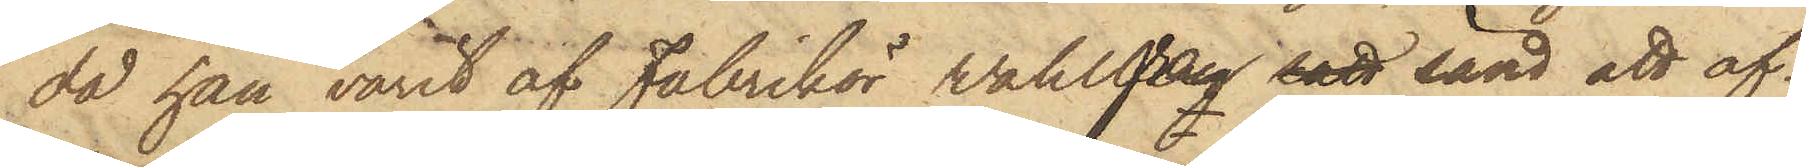då han varit af Fabrikör Wahlgren satt sänd att af¬
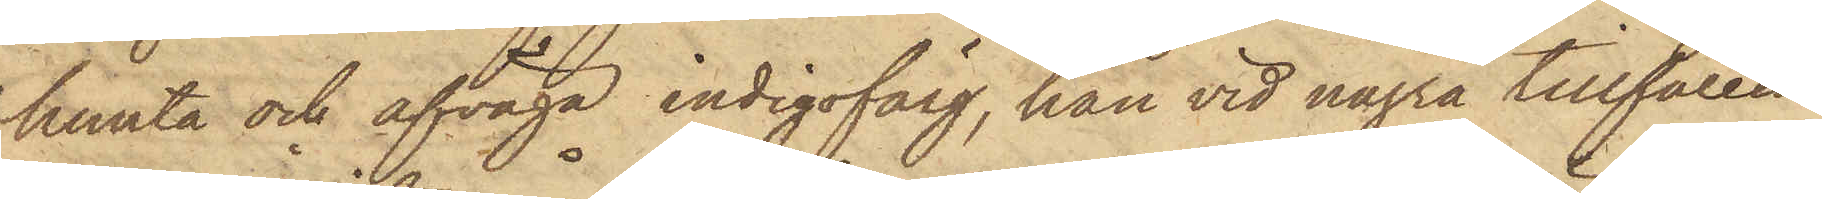hemta och afväga indigofärg, han vid några tillfällen
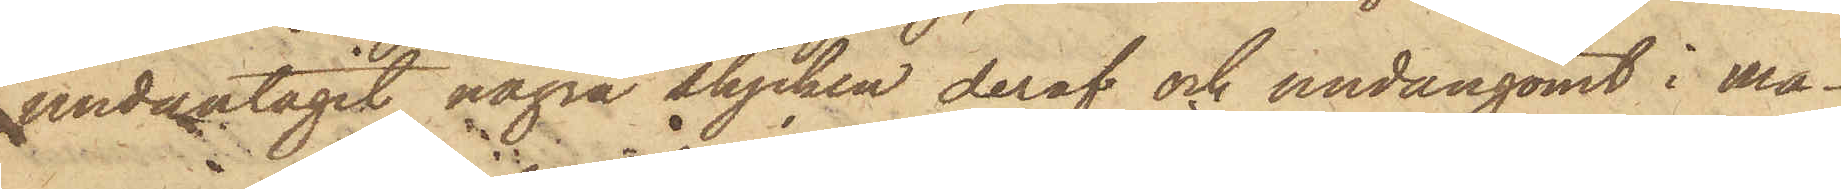undantagit några stycken deraf och undangömt i ma¬
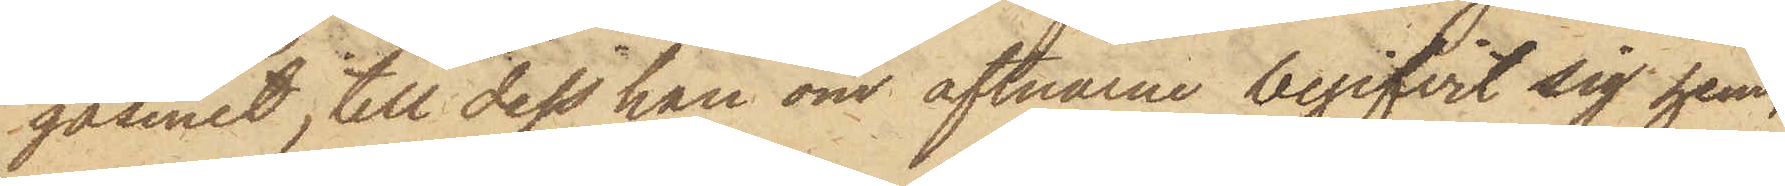gasinet, till dess han om aftnarne begifvit sig hem,
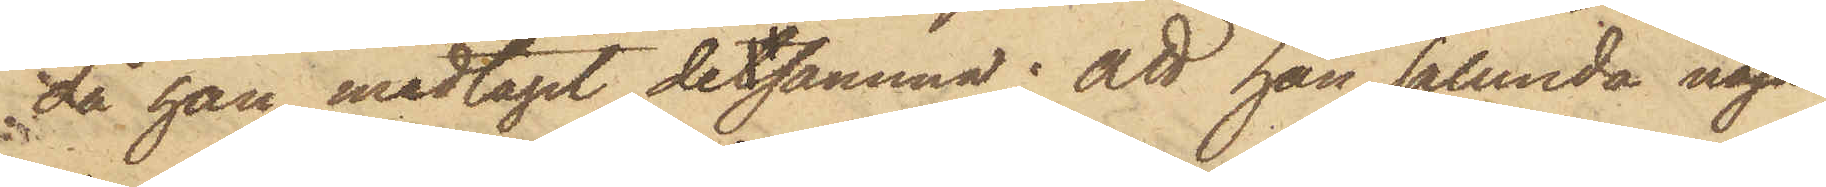då han medtagit detsamma; att han sålunda någon
